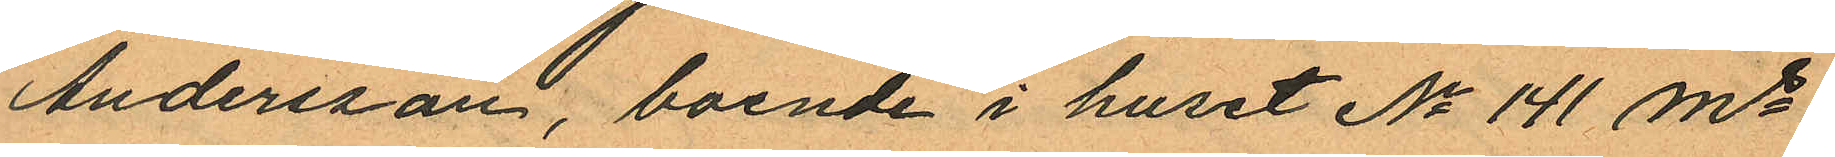Andersson, boende i huset No 141 Ms
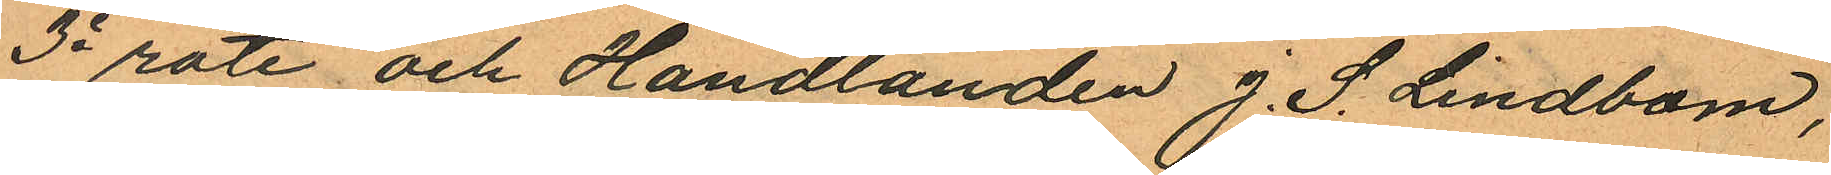3e rote och Handlanden J. S. Lindbom,
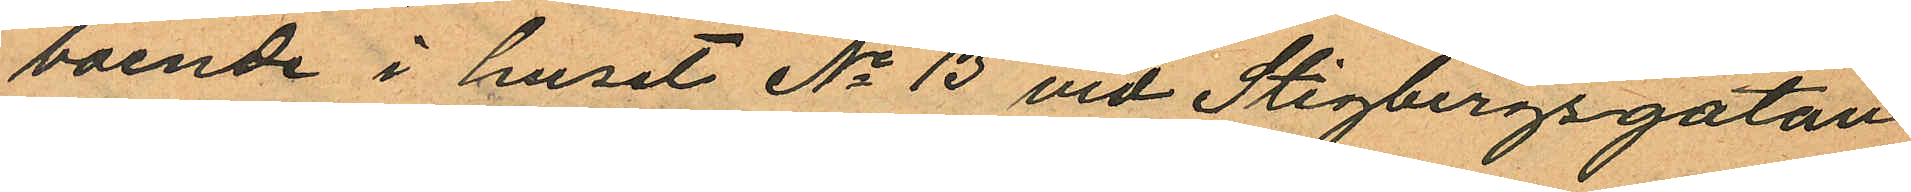boende i huset No 13 vid Stigbergsgatan
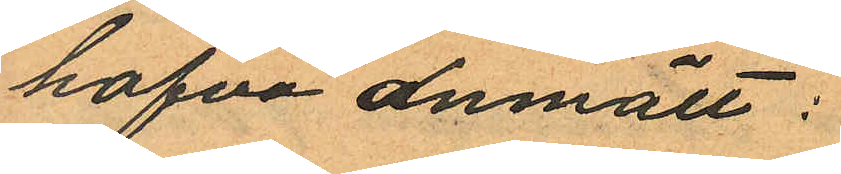hafva anmält:
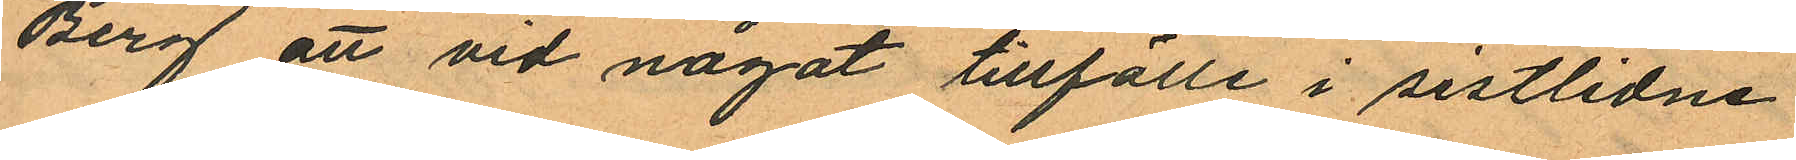Berg att vid något tillfälle i sistlidne
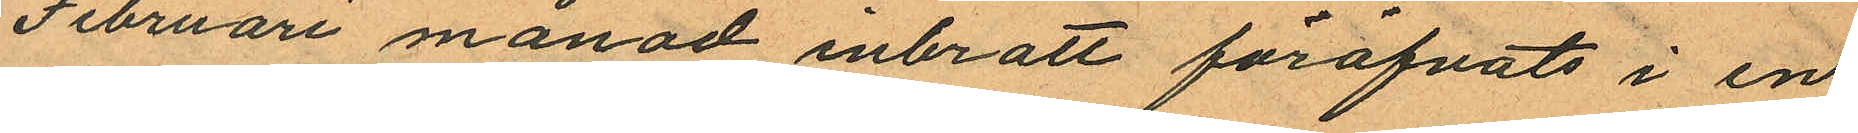Februari månad inbrott föröfvats i en
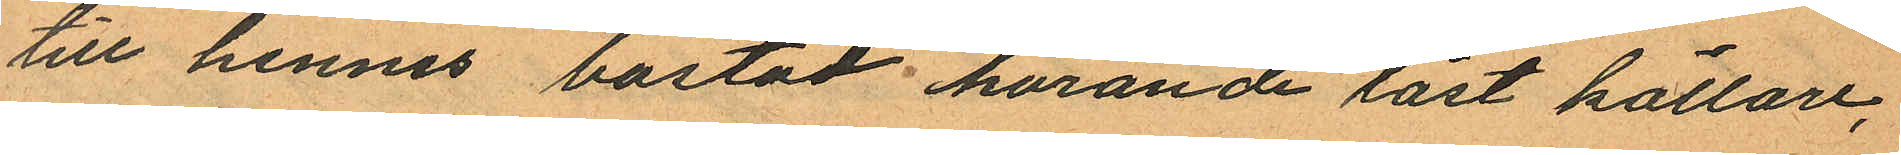till hennes bostad hörande låst källare,
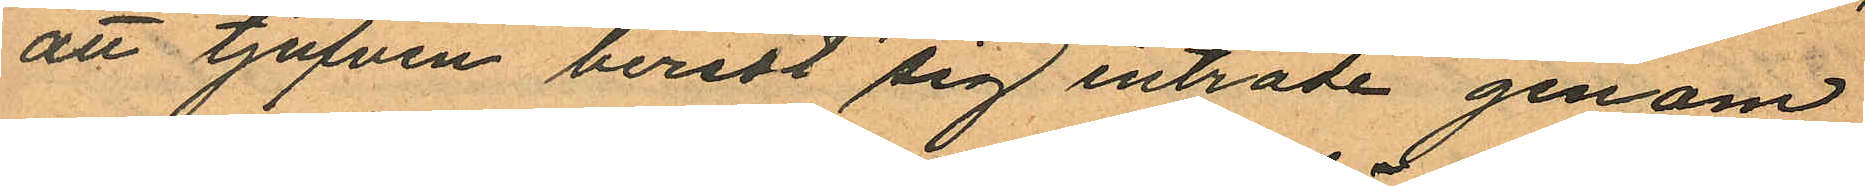att tjufven beredt sig inträde genom
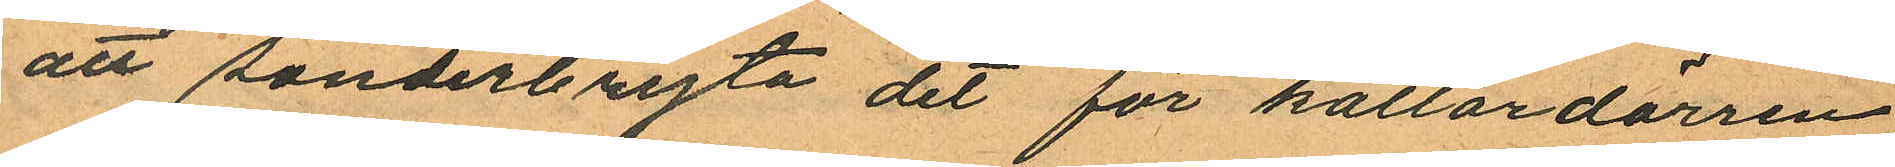att sönderbryta dit för källardörren
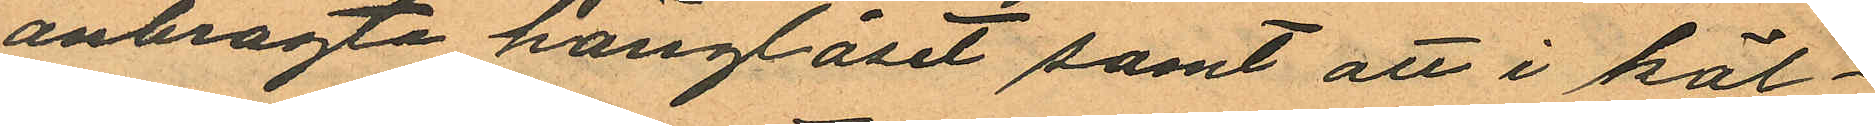anbragta hänglåset samt att i käl¬
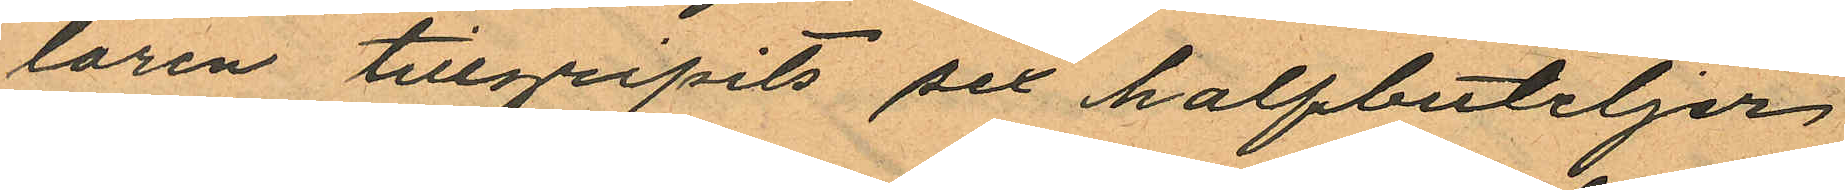laren tillgripits sex halfbuteljer
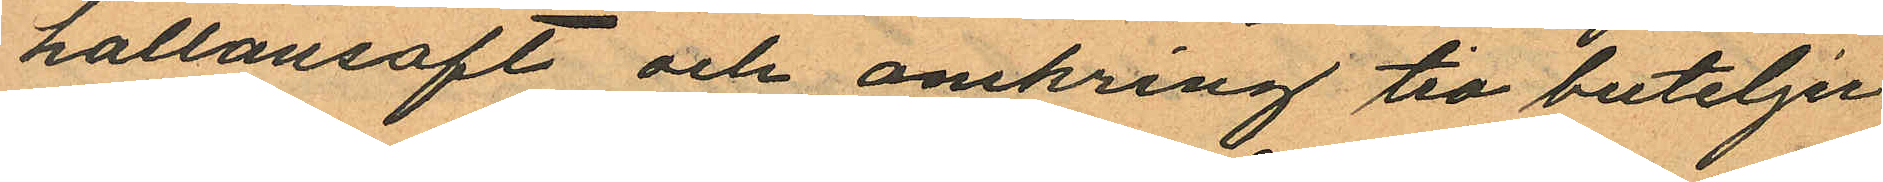hallonsaft och omkring tio buteljer
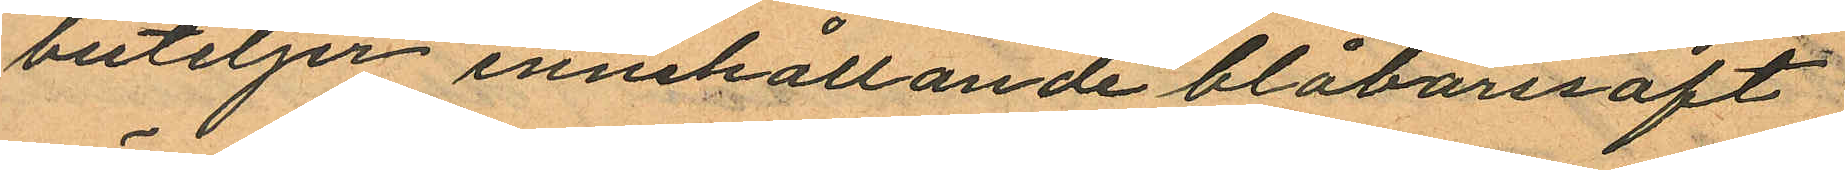buteljer innehållande blåbärsaft
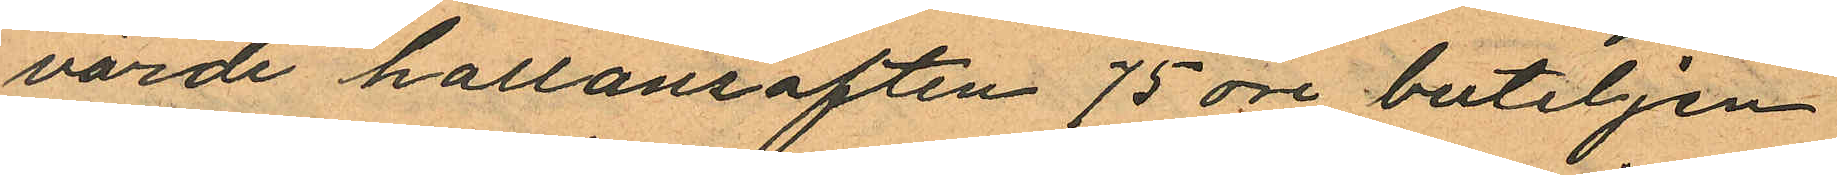värde hallonsaften 75 öre buteljen
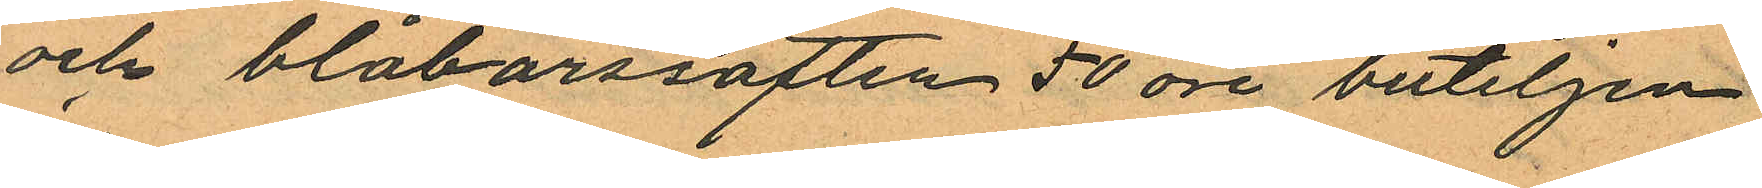och blåbärssaften 50 öre buteljen,
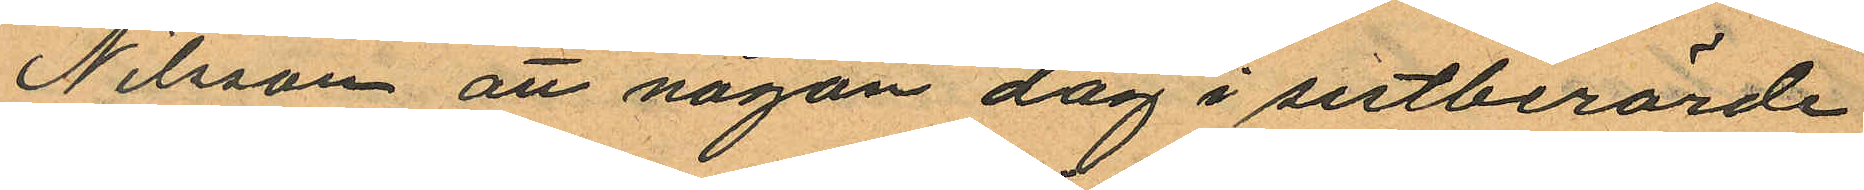Nilsson att någon dag i sistberörde
